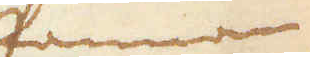Pannan
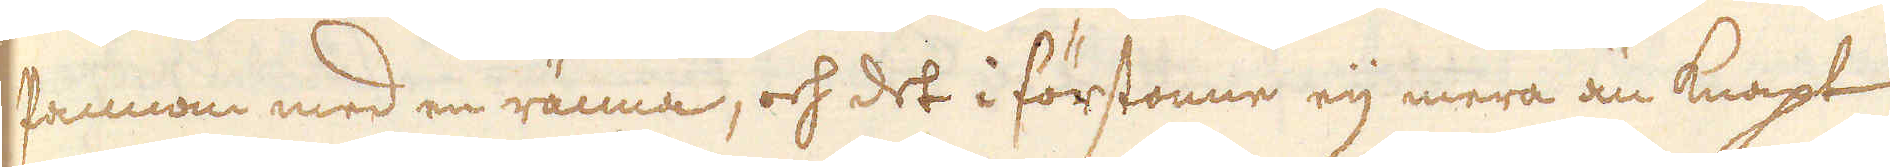Pannan med en ränna, och det i förstonne eij mera än knapt
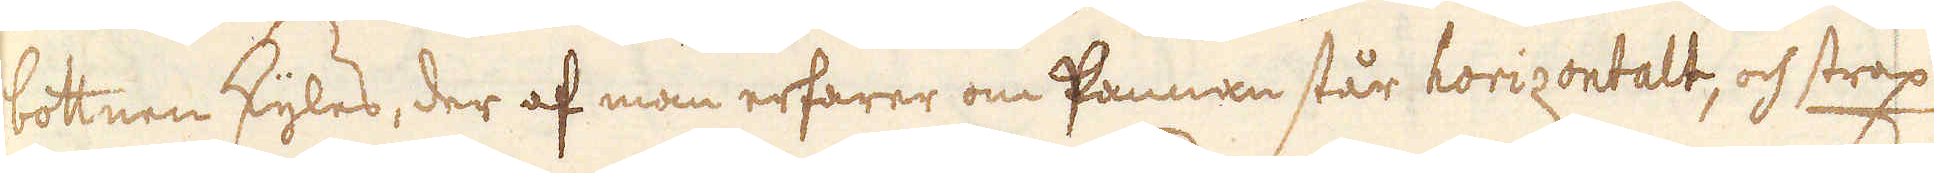bottnen skyles, der af man erfarer om Pannan står horizontalt, och strax
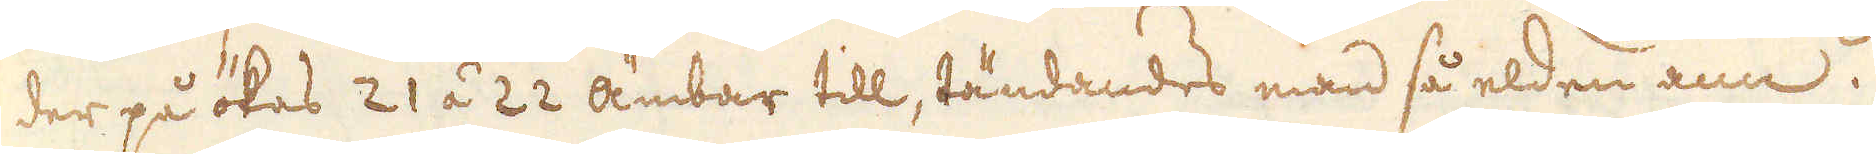der på ökas 21 á 22 ämbar till, tändandes man så elden ann.
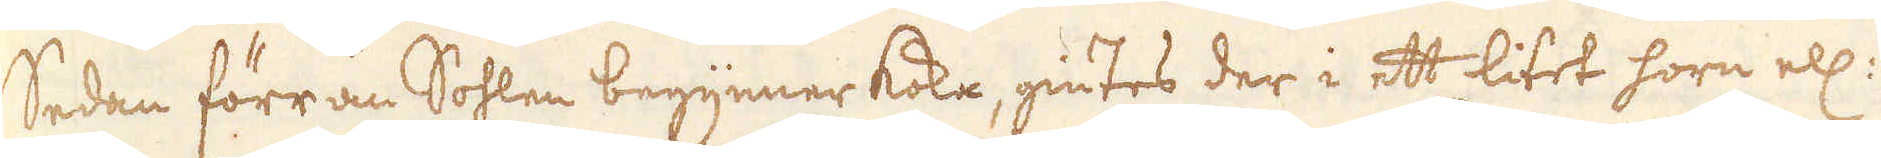Sedan förr än Sohlen begynner koka, giutes der i ett litet horn ell:
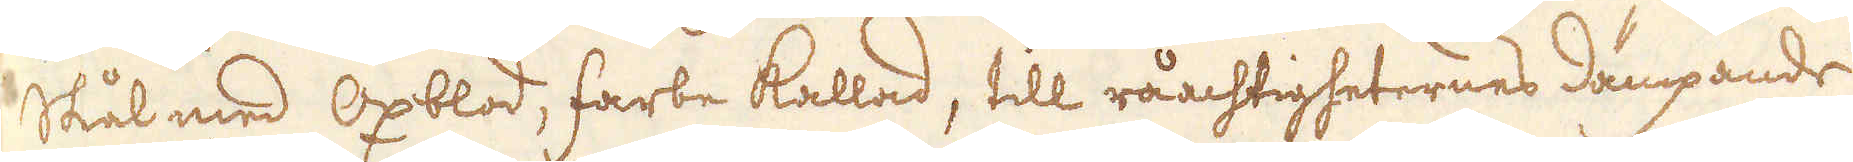Skål med Oxblod, farbe kallad, till råachtigheternes dämpande
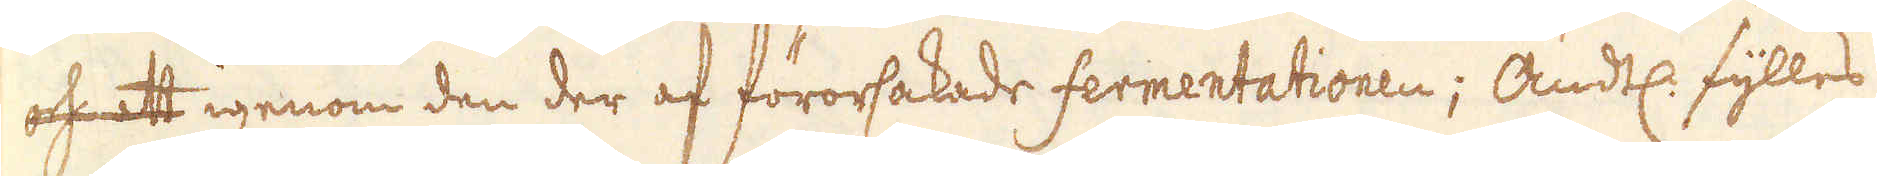och att igenom den der af förorsakade fermentationen; Ändtl: fylles
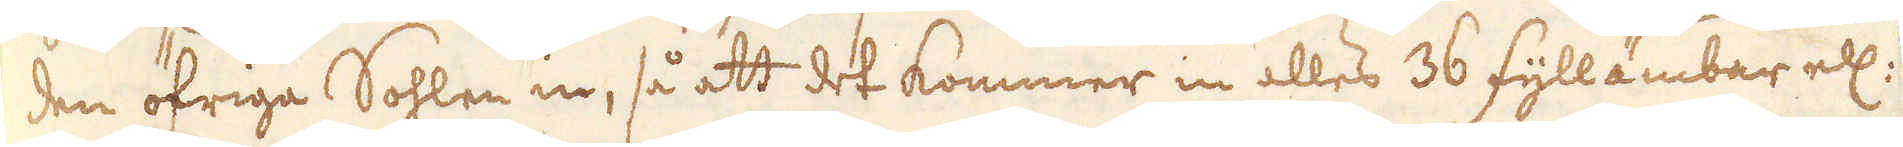den öfriga Sohlen in, så att det kommer in alles 36 fyllämbar ell:
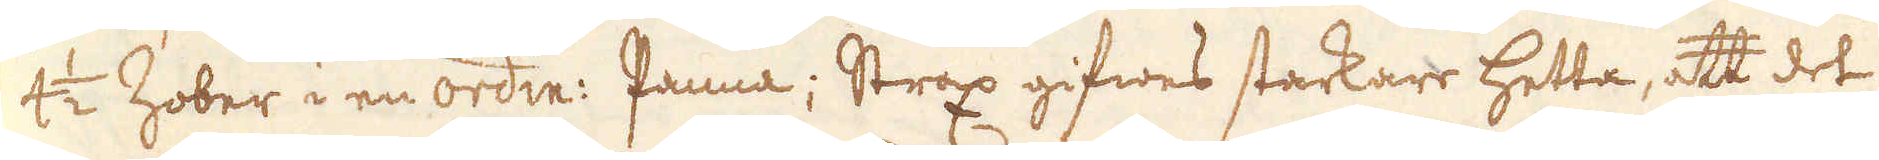4 1/2 Zober i en ordin: Panna; Strax gifwes starkare hetta, att det
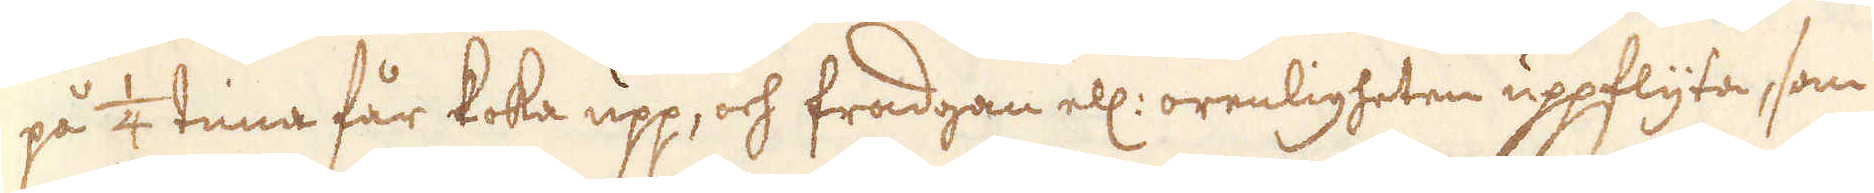på 1/4 tima får koka upp, och fradgan ell: orenligheten uppflyta, som
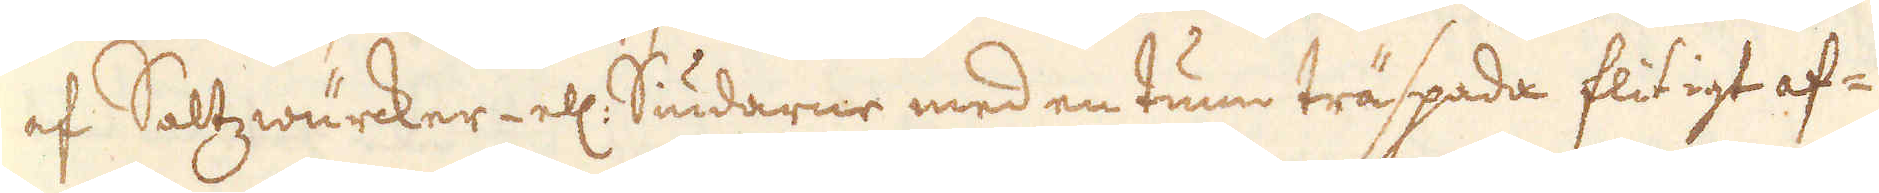af Saltzwärcker- ell: Siudarne med en tunn träspada flitigt af-
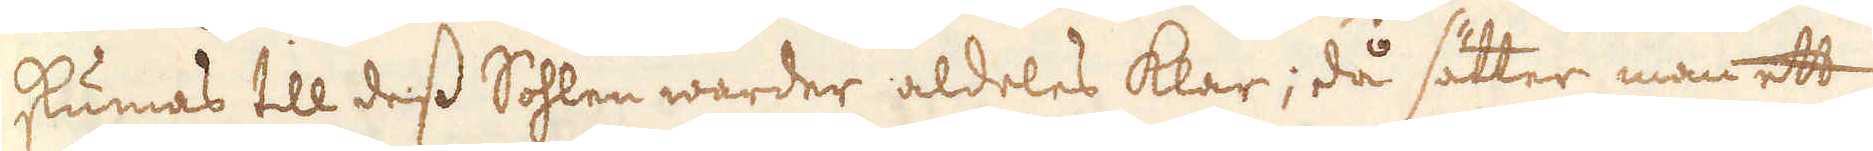skumas till dess Sohlen warder aldeles klar; då sätter man ett
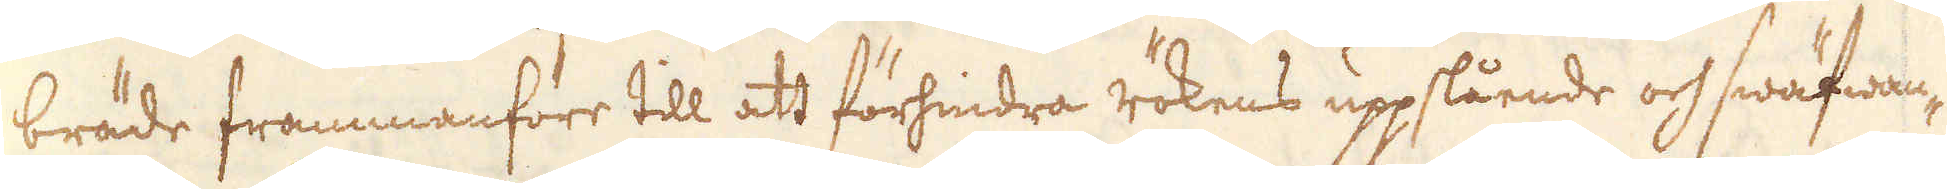bräde frammanföre till att förhindra rökens uppslående och swäfwan-
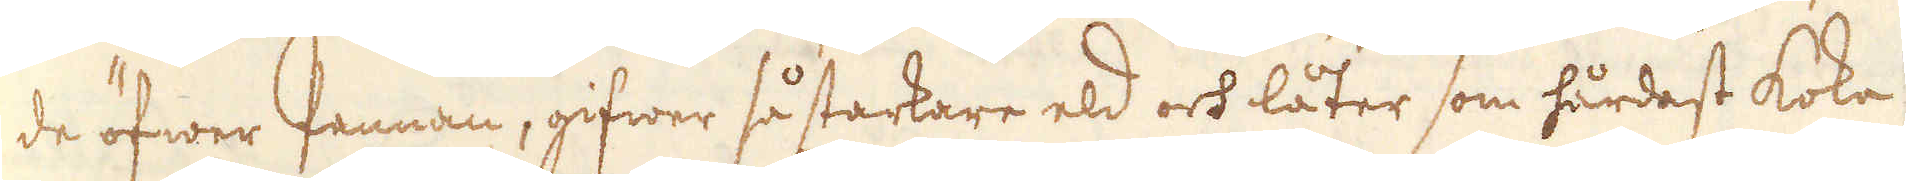de öfwer Pannan, gifwer så starkare eld och låter som hårdast koka
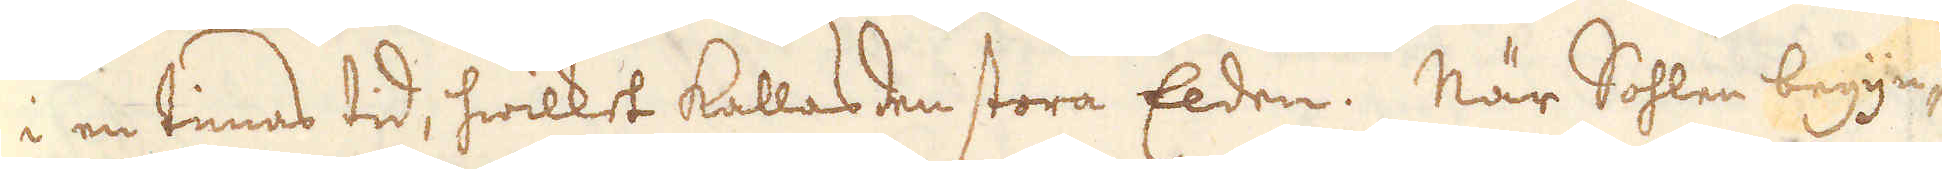i en timas tid, hwilket kallas den stora Elden. När Sohlen begyn-
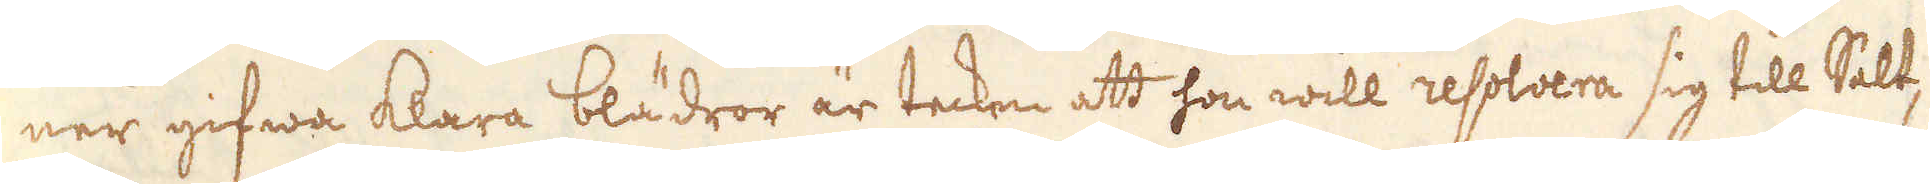ner gifwa klara blädror är tecken att hon will resolvera sig till Salt,
